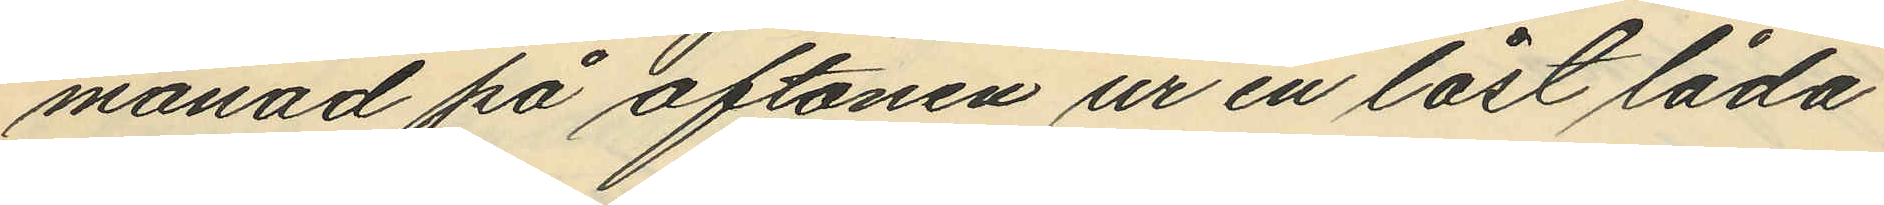månad på aftonen ur en låst låda
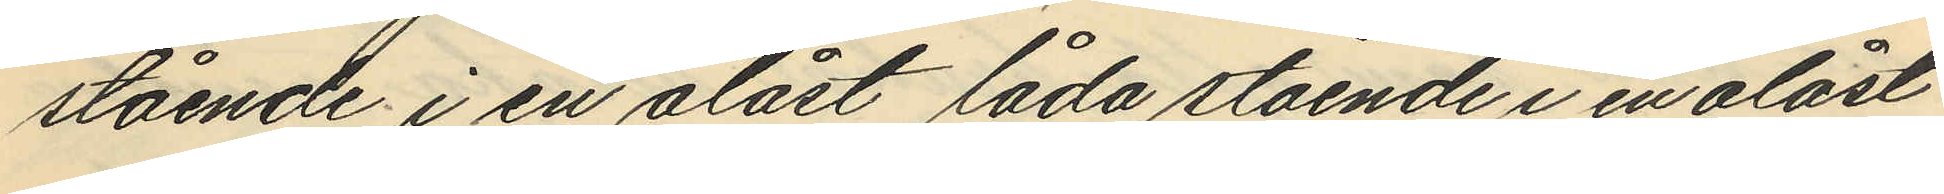stående i en olåst låda stående i en olåst
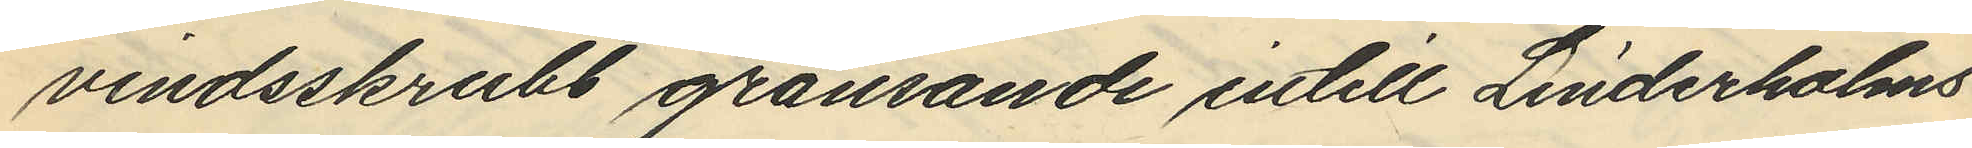vindsskrubb gränsande intill Linderholms
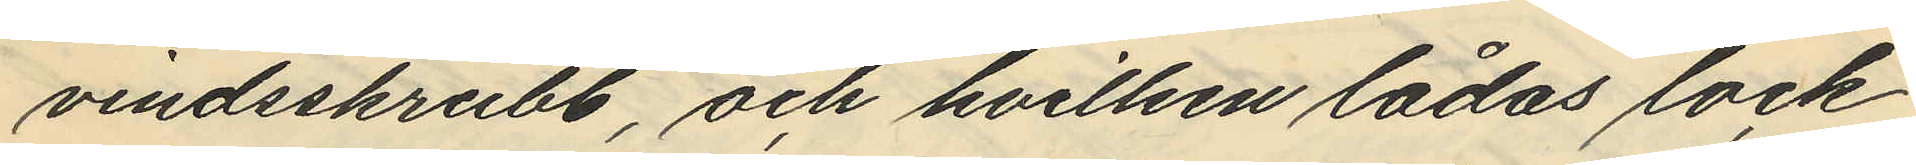vindsskrubb, och hvilken lådas lock
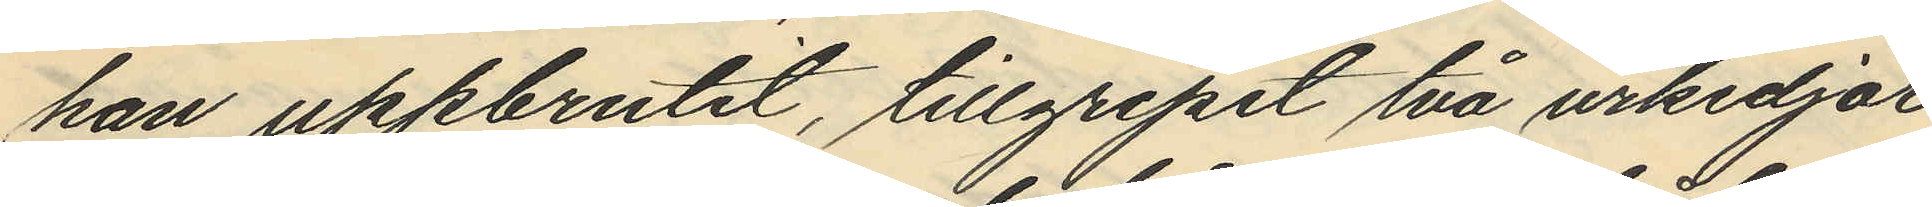han uppbrutit, tillgripit två urkedjor
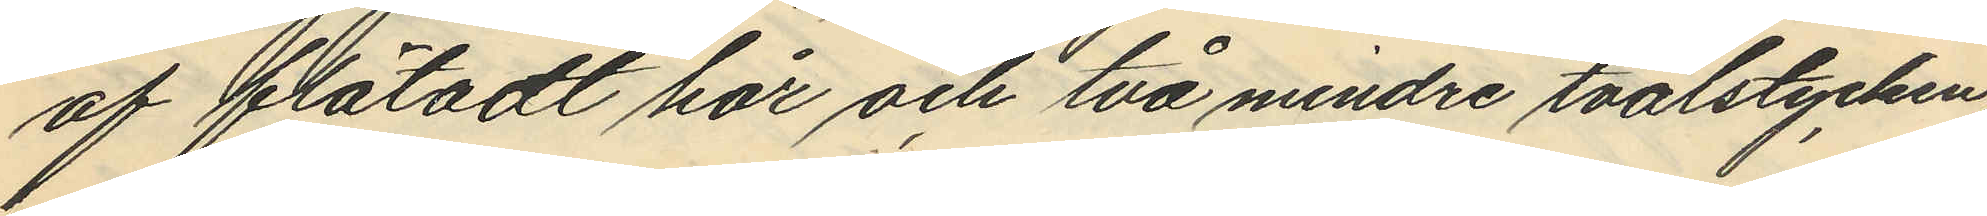af flätadt hår och två mindre tvålstycken
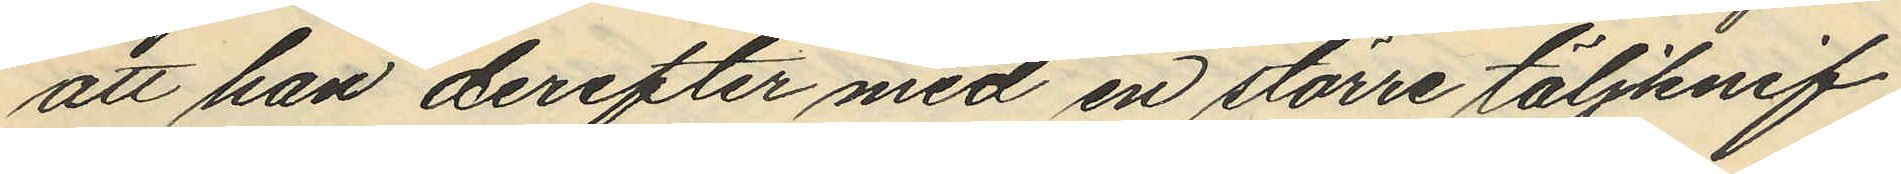att han derefter med en större täljknif
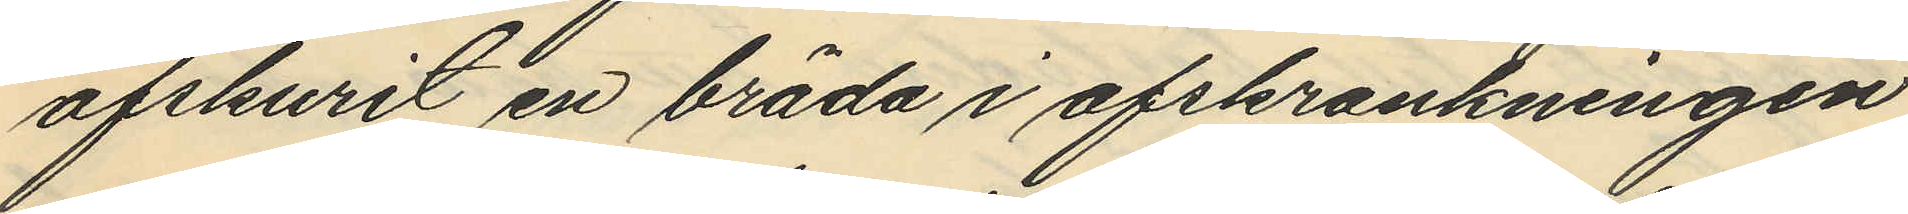afskurit en bräda i afskrankningen
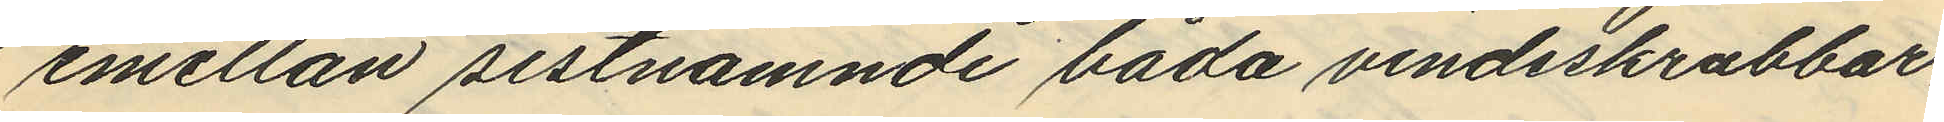emellan sistnämnde båda vindsskrubbar,
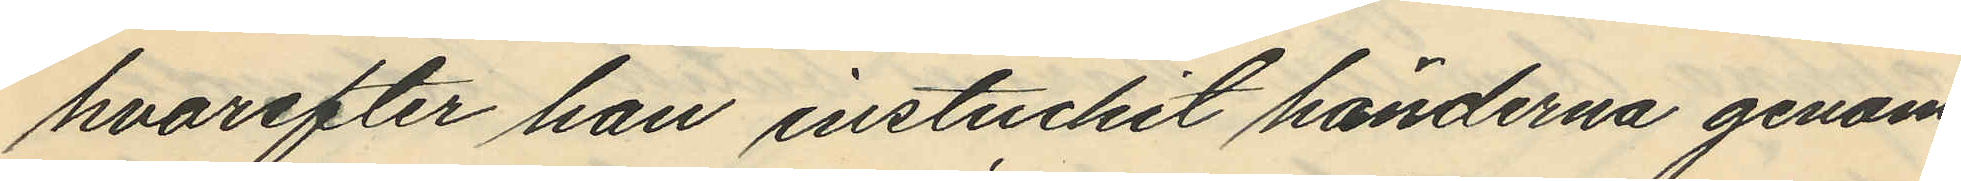hvarefter han instuckit händerna genom
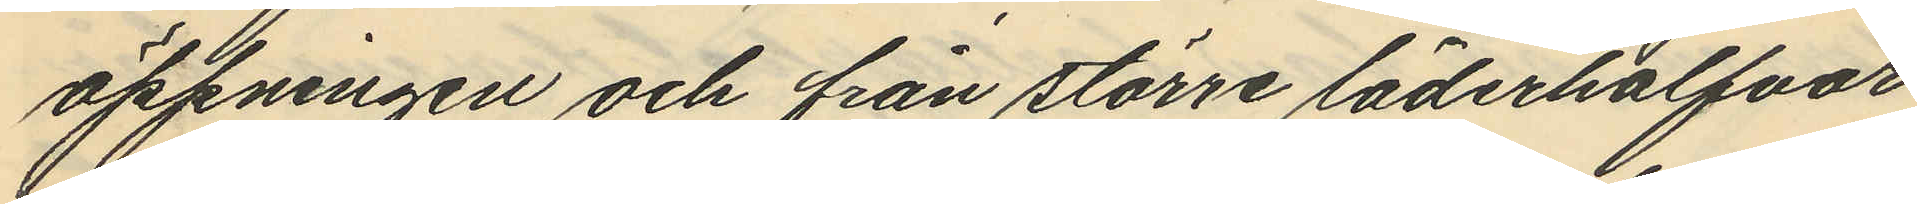öppningen och från större läderhalfvor
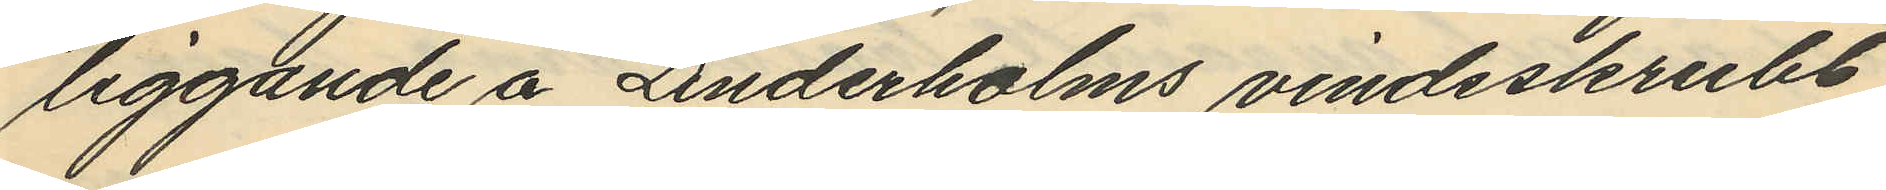liggande å Linderholms vindsskrubb
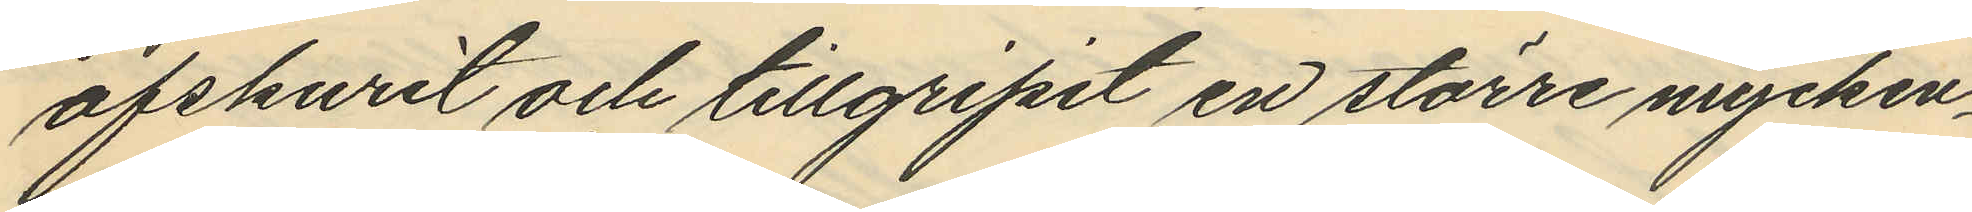afskurit och tillgripit en större mycken¬
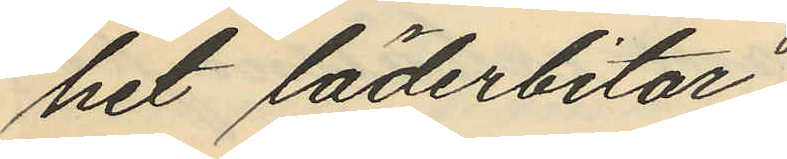het läderbitar
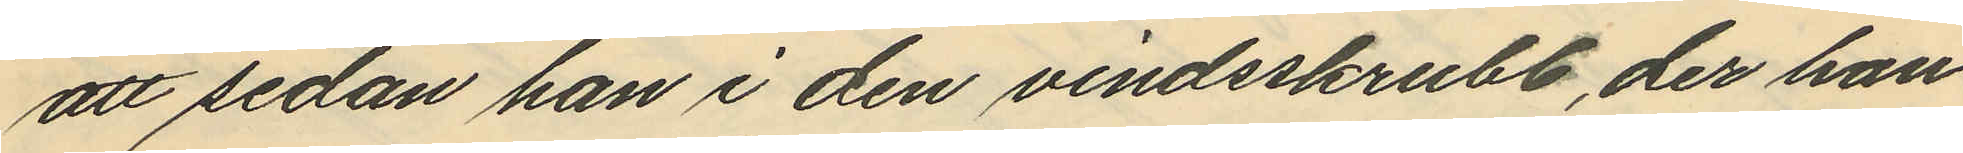att sedan han i den vindsskrubb, der han
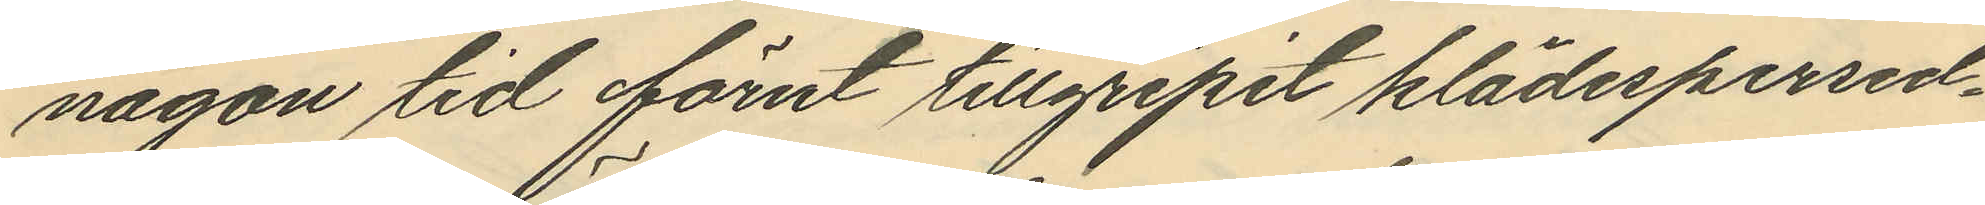någon tid förut tillgripit klädespersed¬
